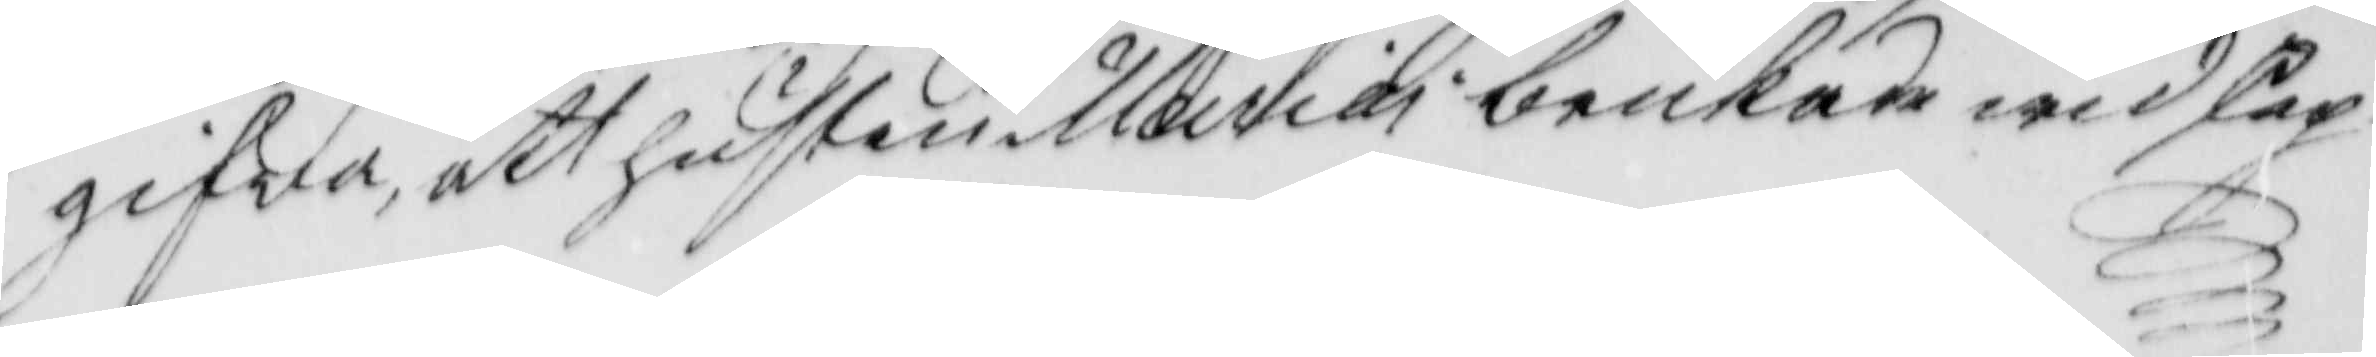gifva, ett hustru Maria brukade widskep¬
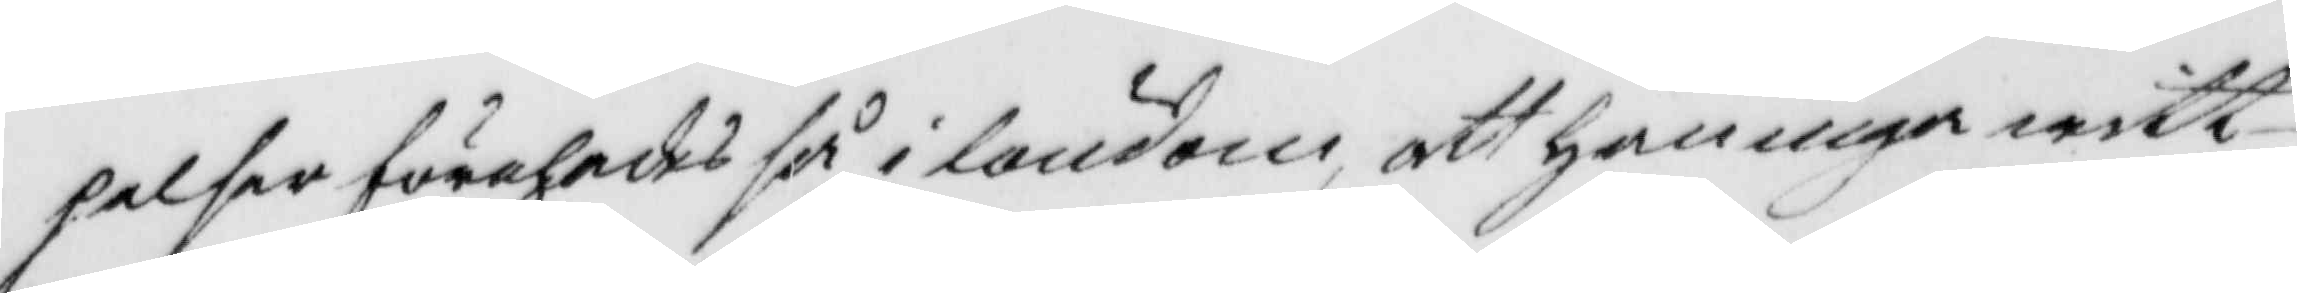pelser förehades så i löndom, att han inga witt¬
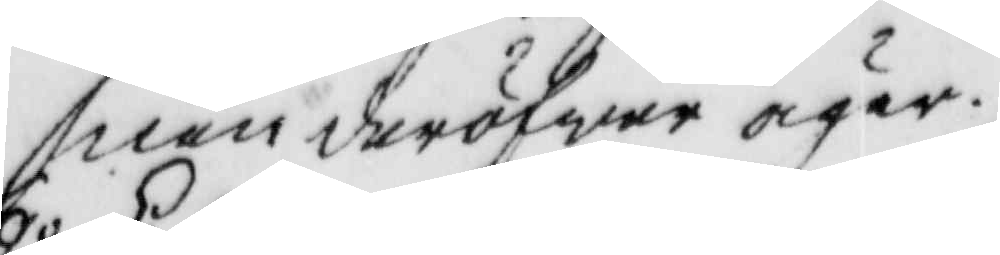nen deröfwer äger.
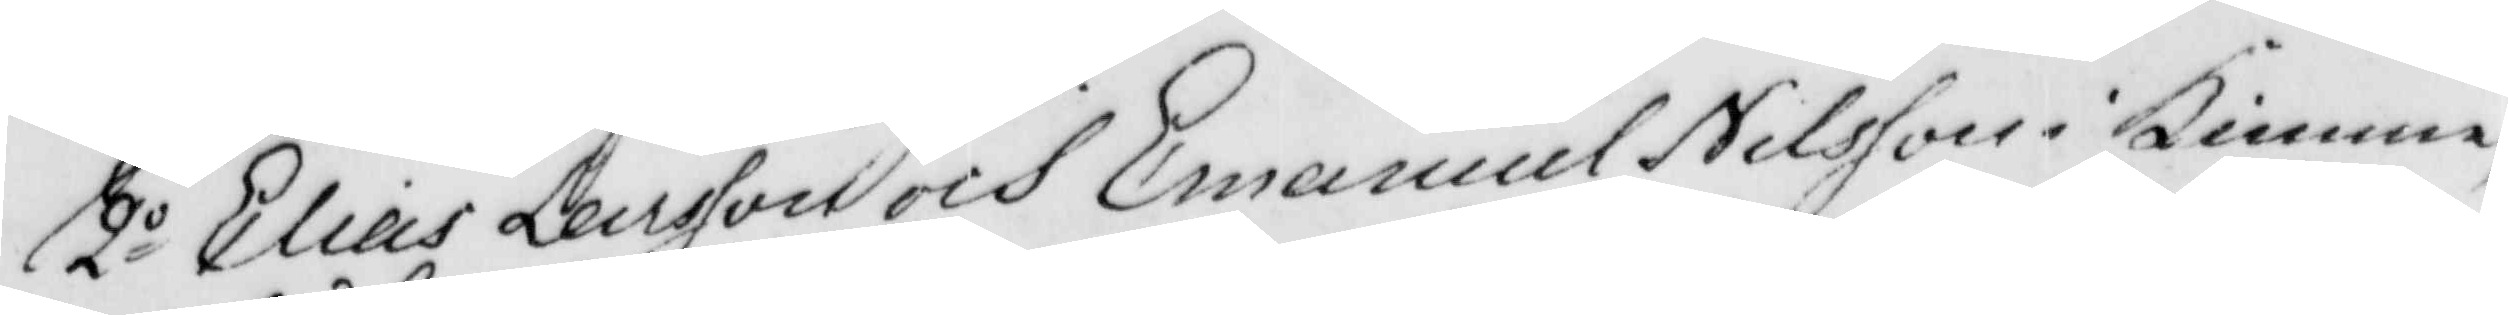2o Elias Larsson och Emanuel Nilsson i Bimme,
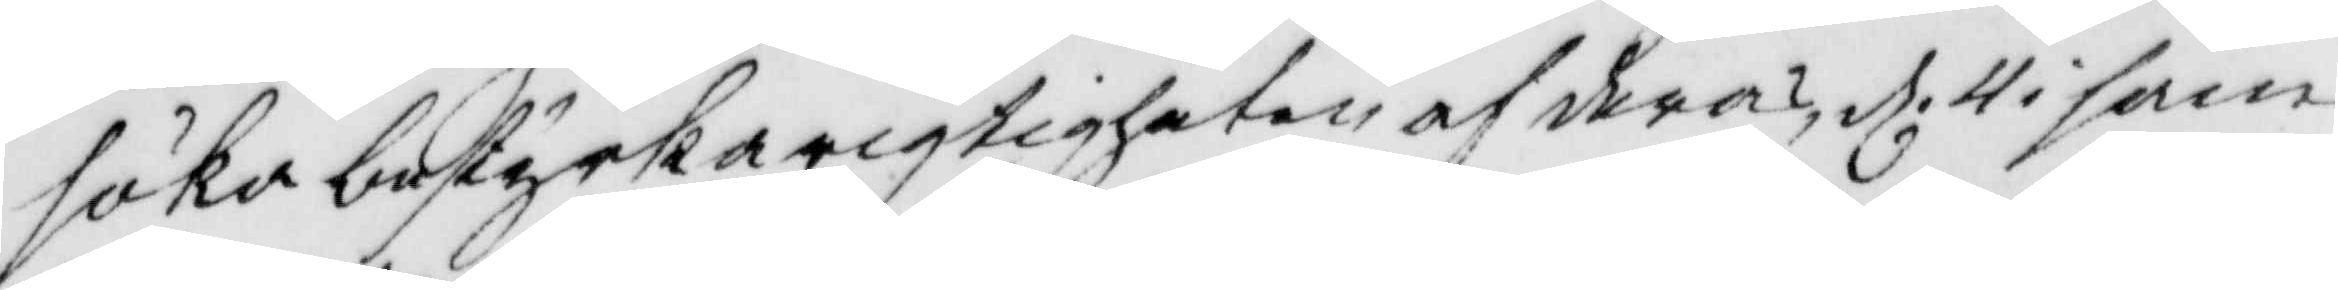söka bestyrka rigtigheten af deras, d. 4 i sam¬
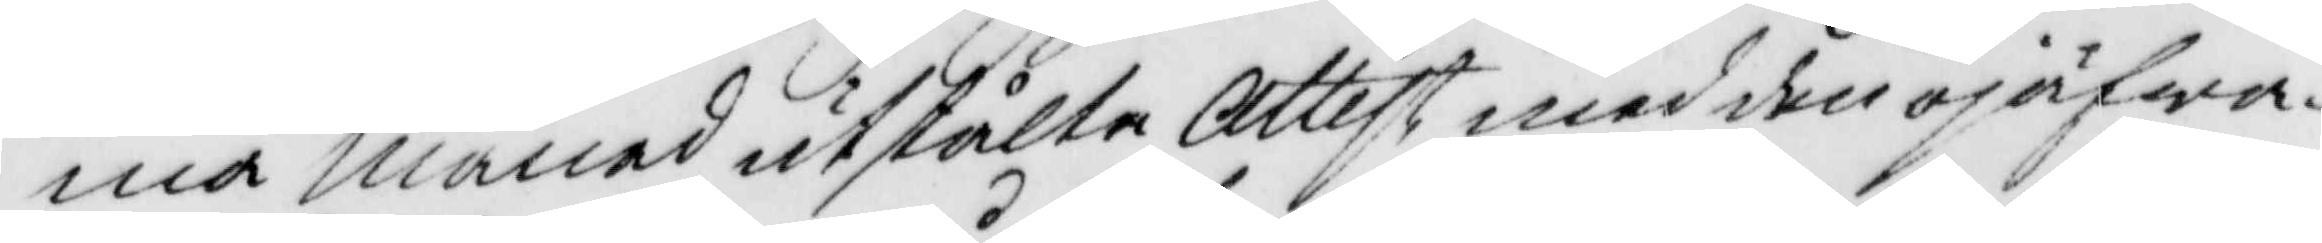ma Månad utstålte Attest med den ojäfwa¬
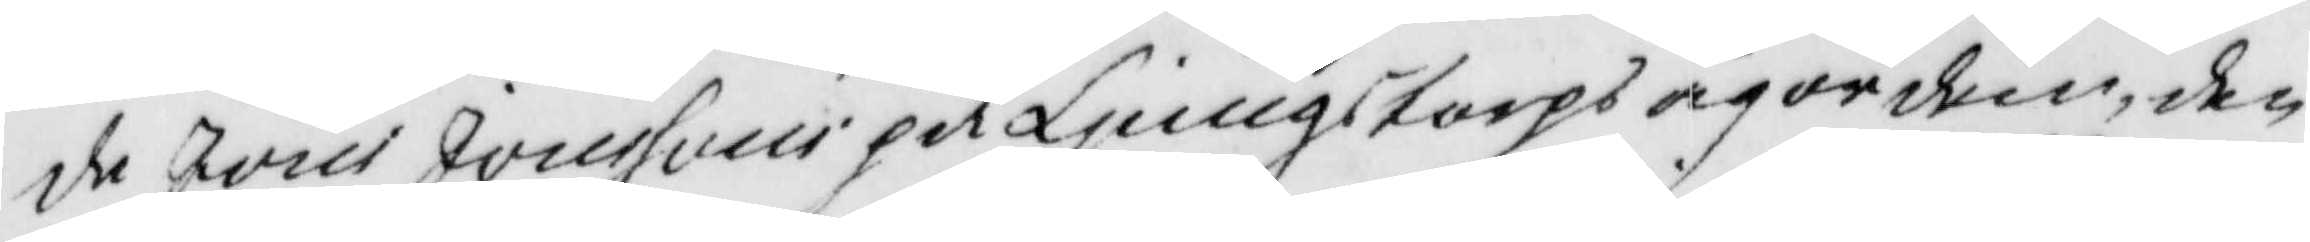de Jöns Jonssons på Ljungstorps ägor dem, den
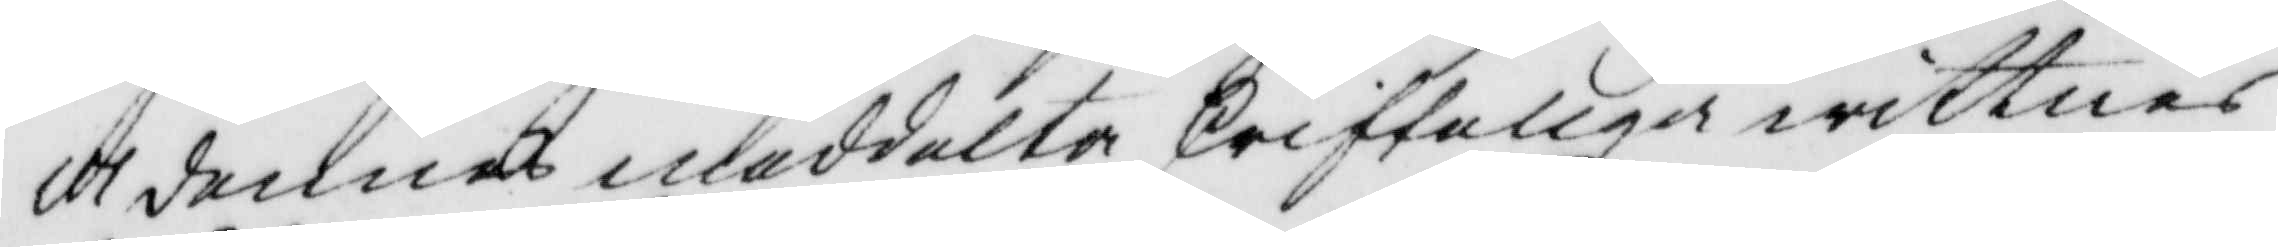ll dennes meddelte skrifteliga wittnes¬
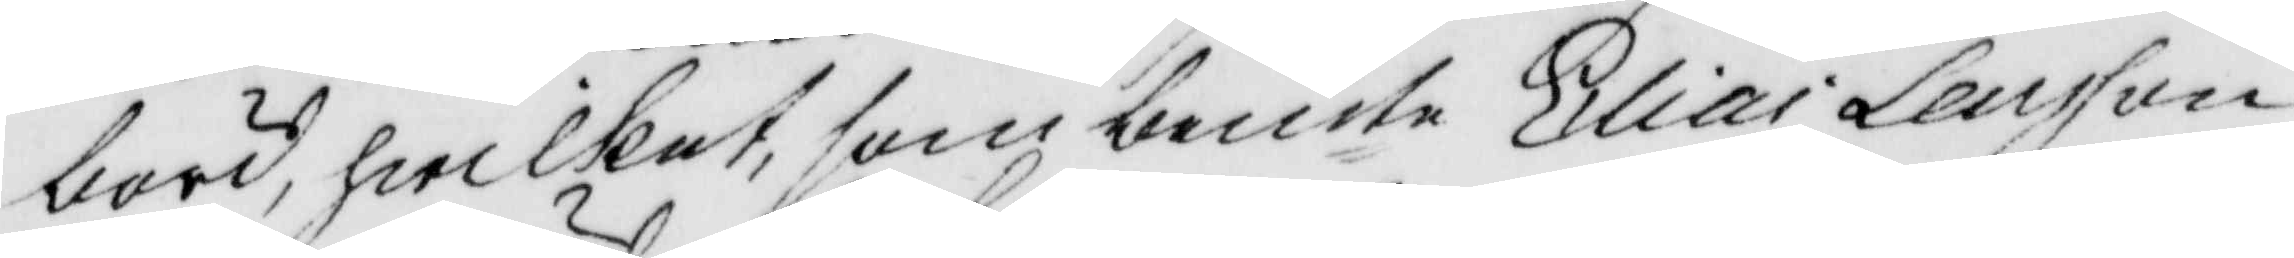börd, hwilket, som bemte Elias Larsson 
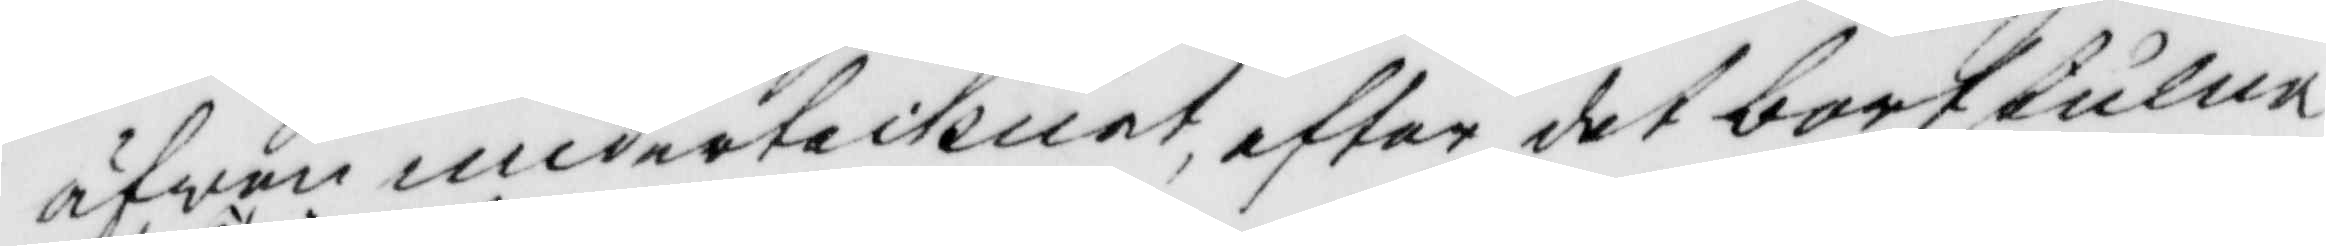äfwen undertecknat, efter det bortstulne
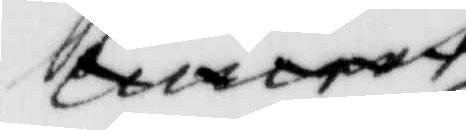xxx
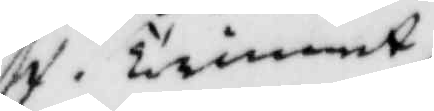f. Tienst
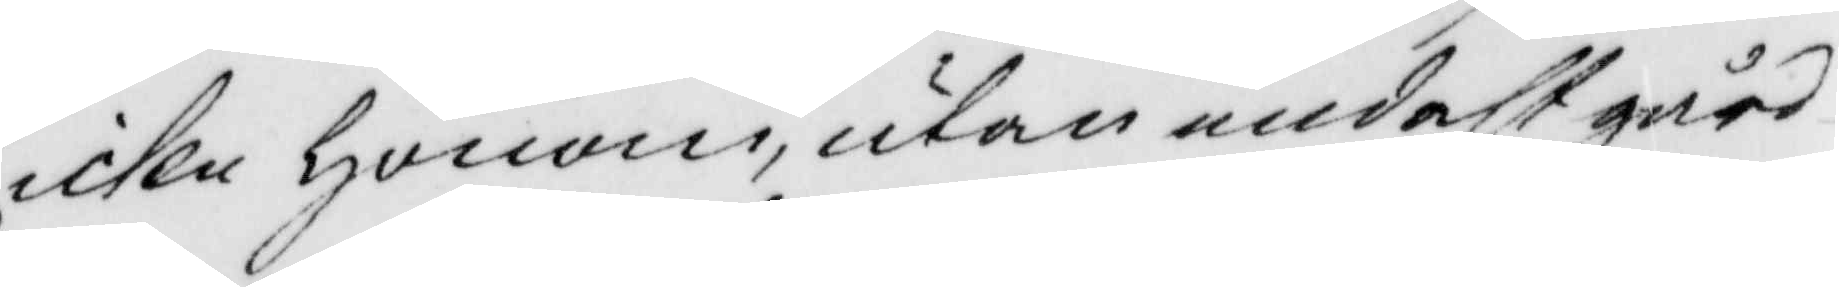icke honom, utan endast gård¬
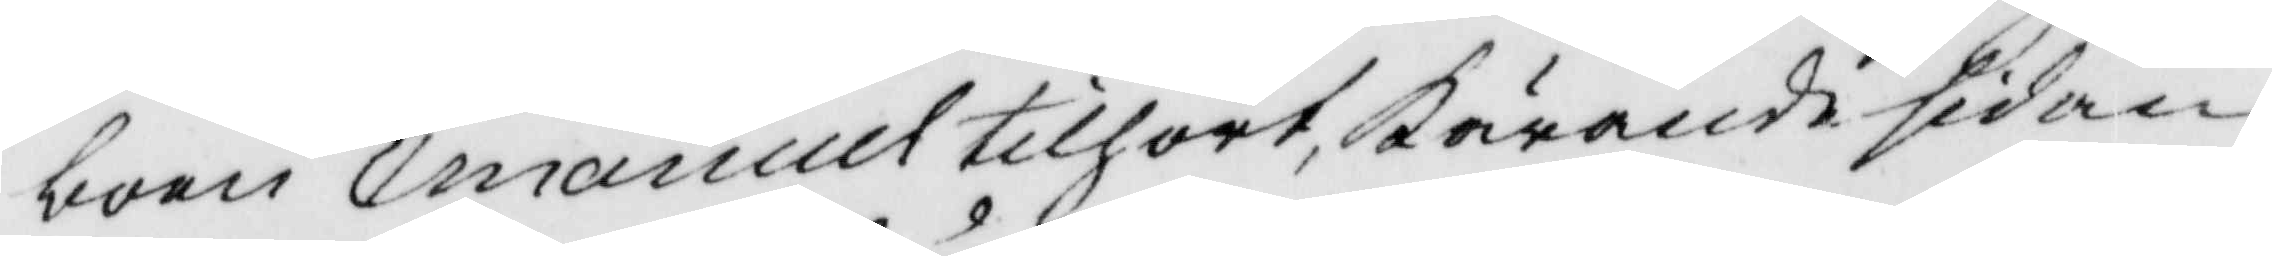boen Emanuell tilhört, kärande sidan
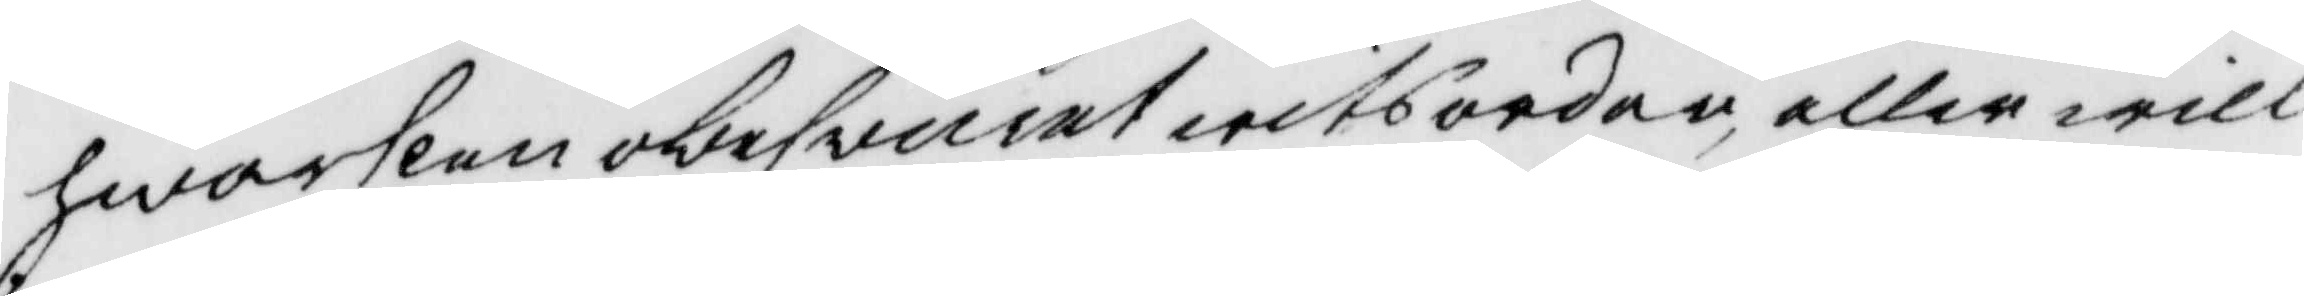hwarken obesvuret witsorden, eller will
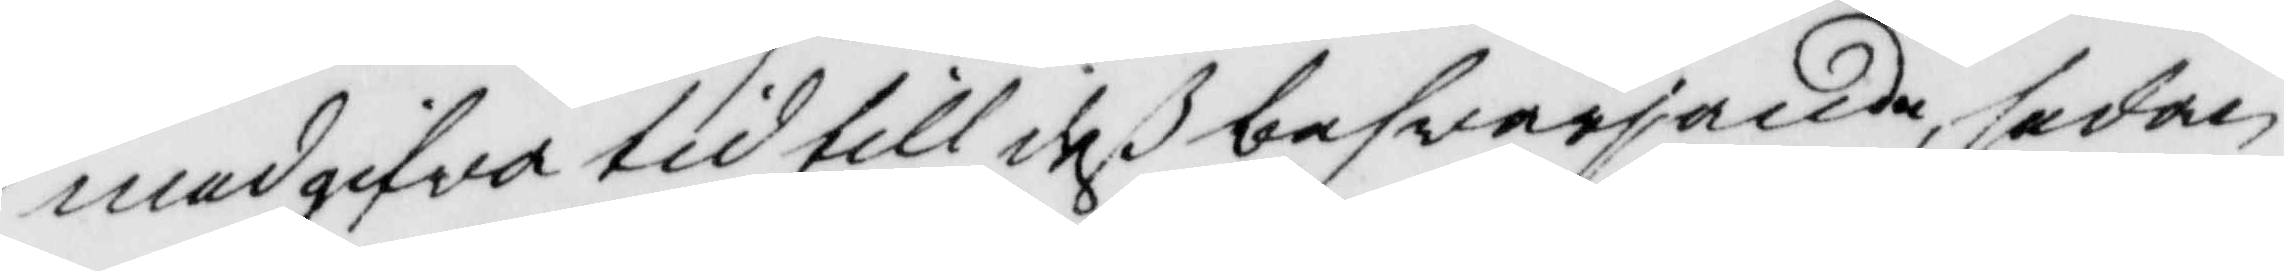medgifva tid till deß besvärjande, sedan
